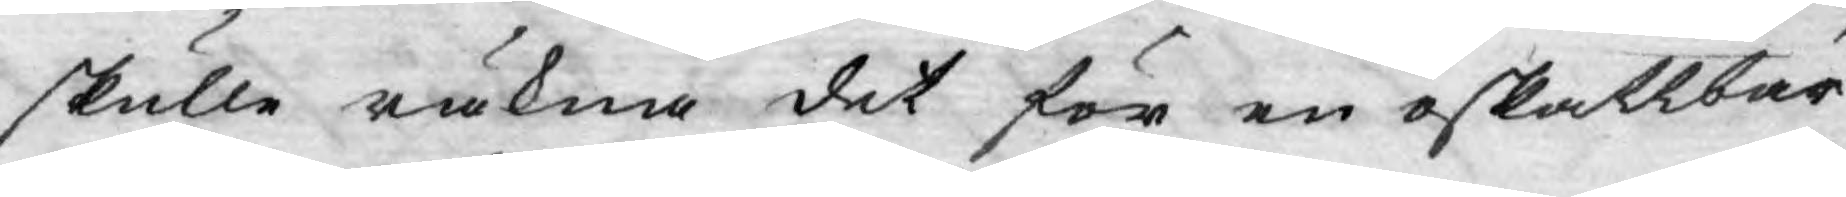skulle räkna det för en oskattbar
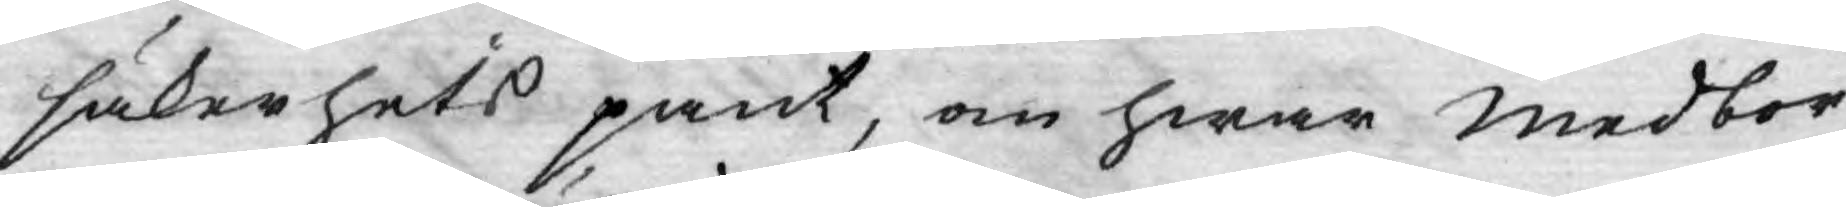säkerhets pant, om hwar medbor¬
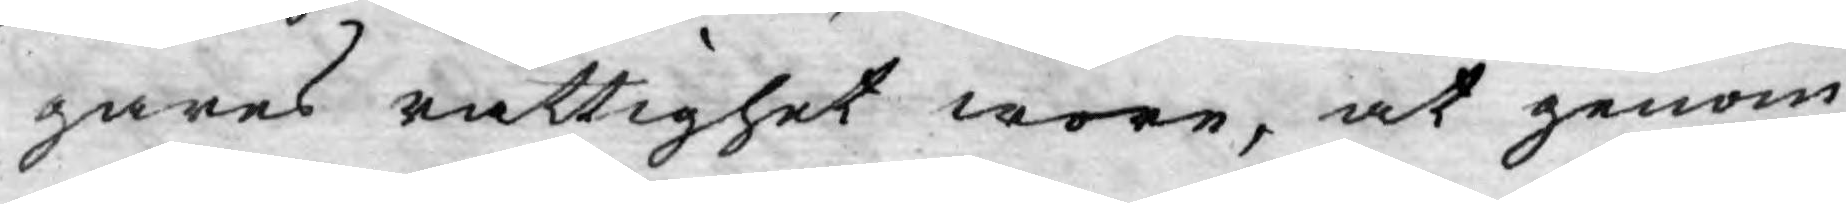gares rättighet wore, at genom
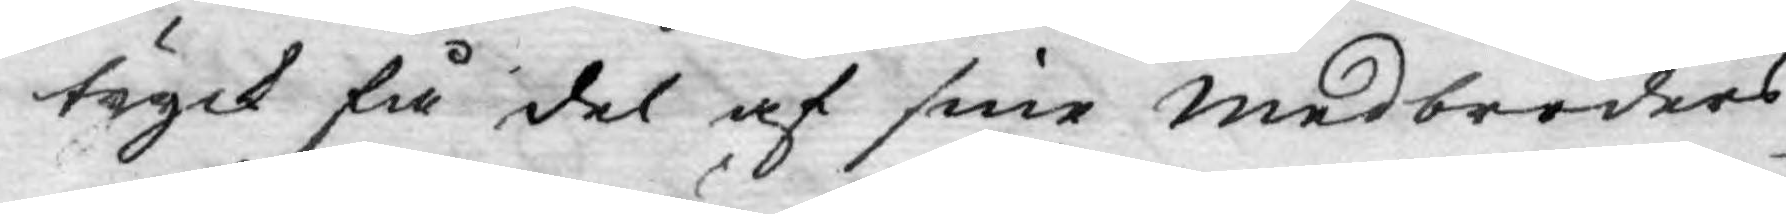tryck få del af sine Medbröders
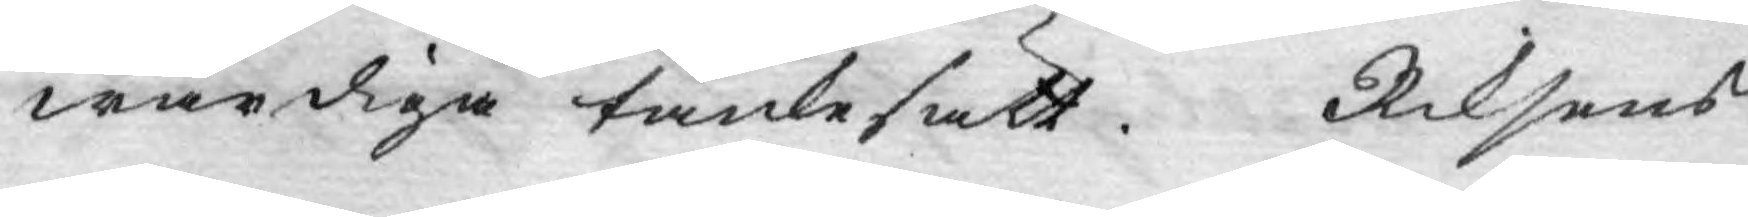wärdiga tänkesätt. Riksens
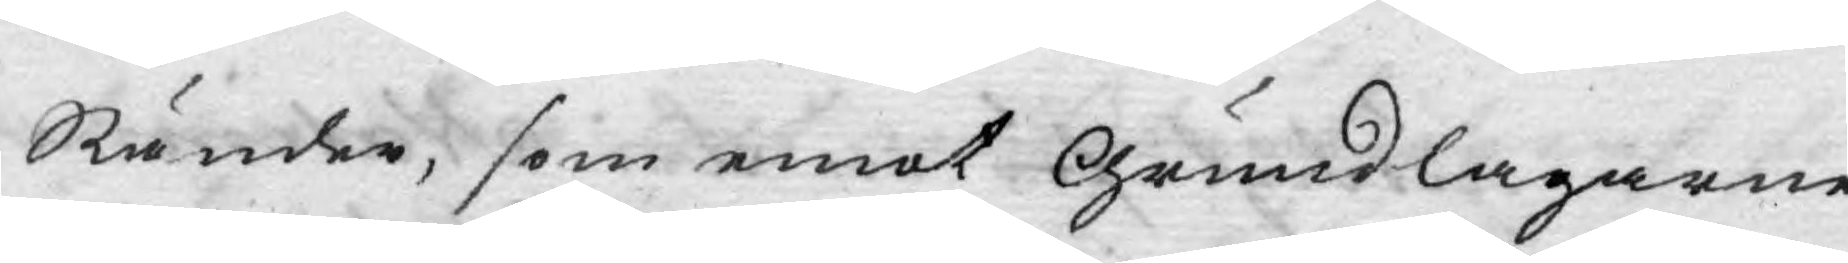Ständer, som emot Grundlagarne
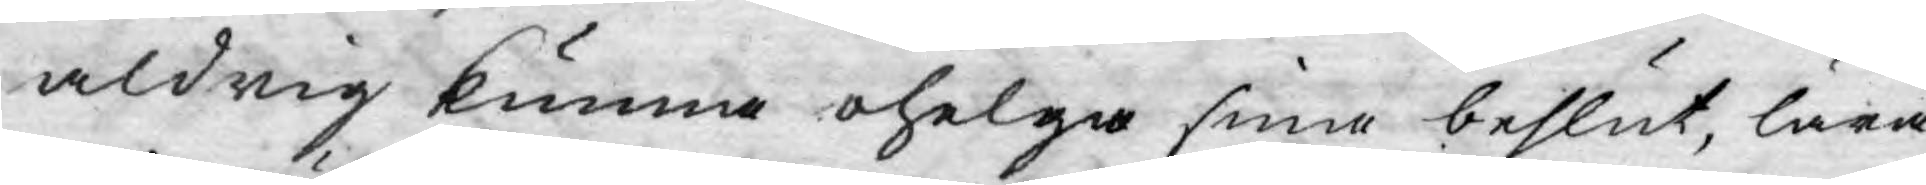aldrig kunna ohelga sina beslut, lära
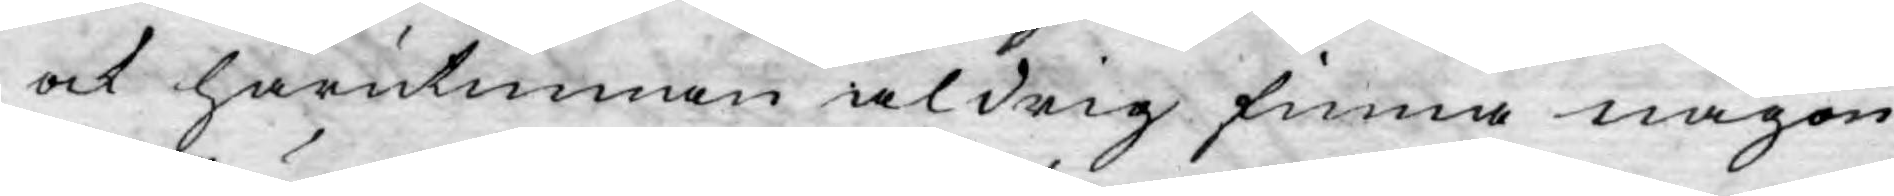ock härutinnan aldrig finna någon
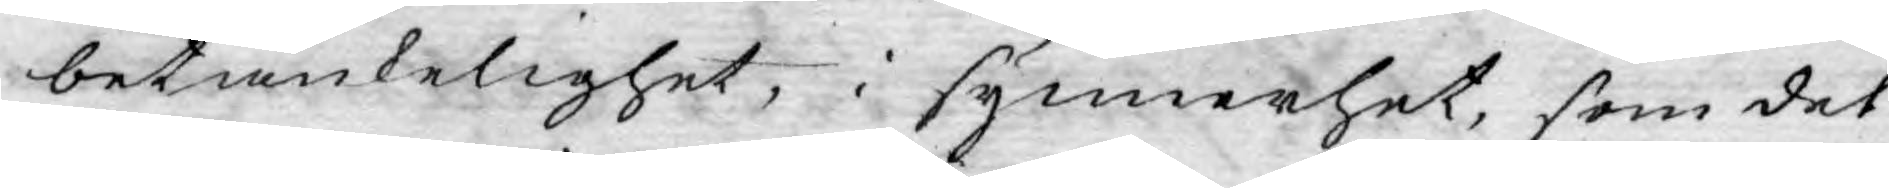betänkelighet, i synnerhet, som det
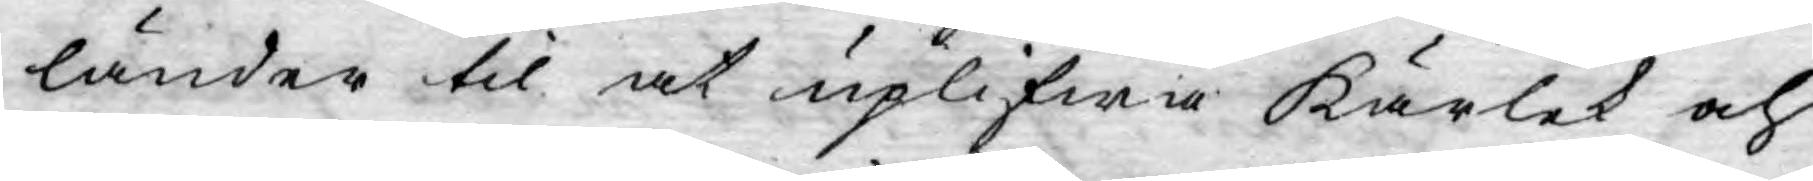länder til at uplifwa Kärlek och
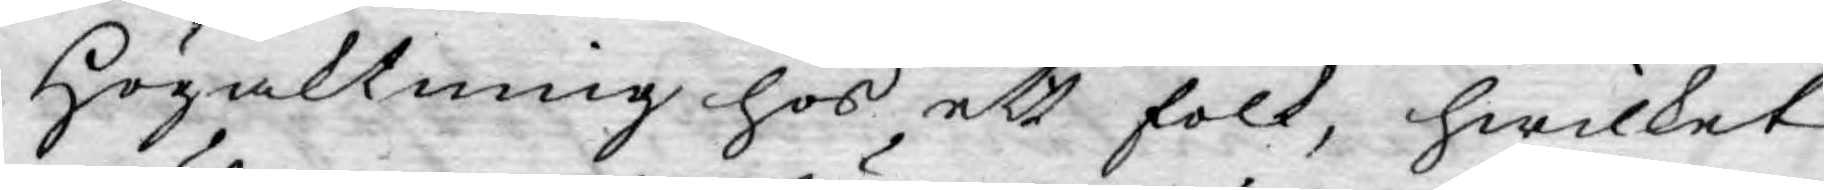Högaktning hos ett folk, hwilket
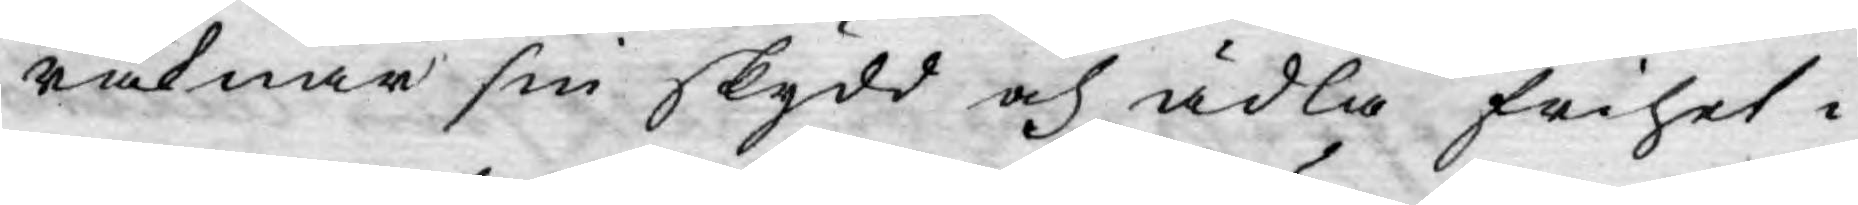räknar sin skydd och ädla frihet i
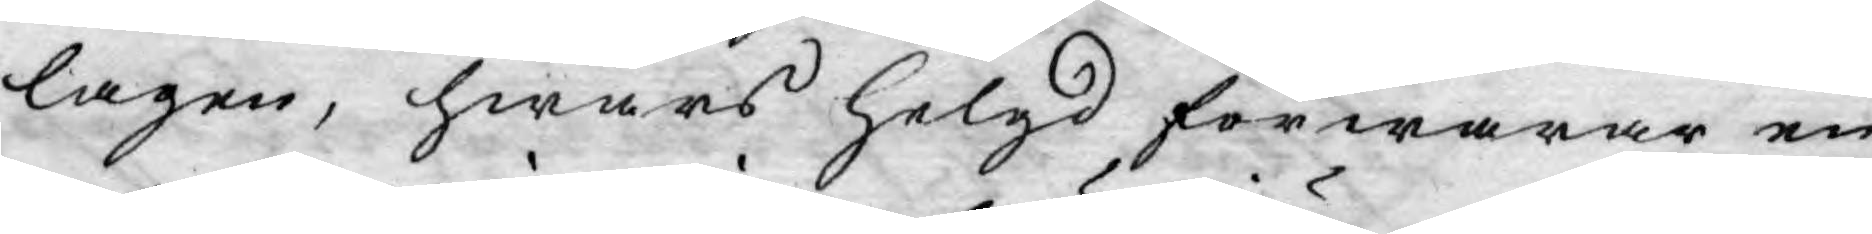lagen, hwars Helgd förwarar en
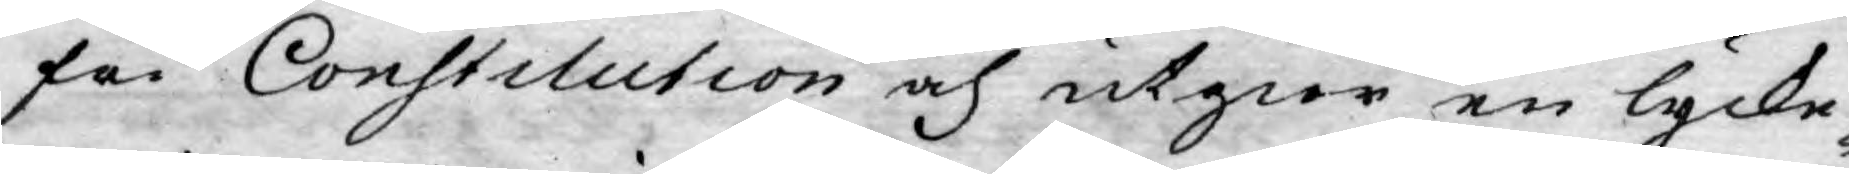fri Constitution och utgiör en lycke¬
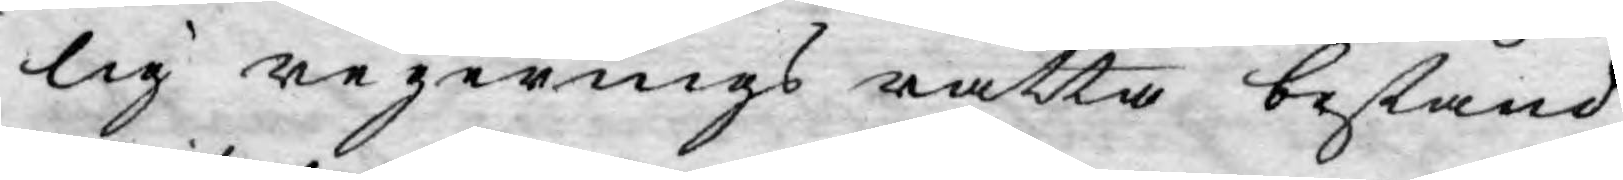lig regerings rätta bestånd.
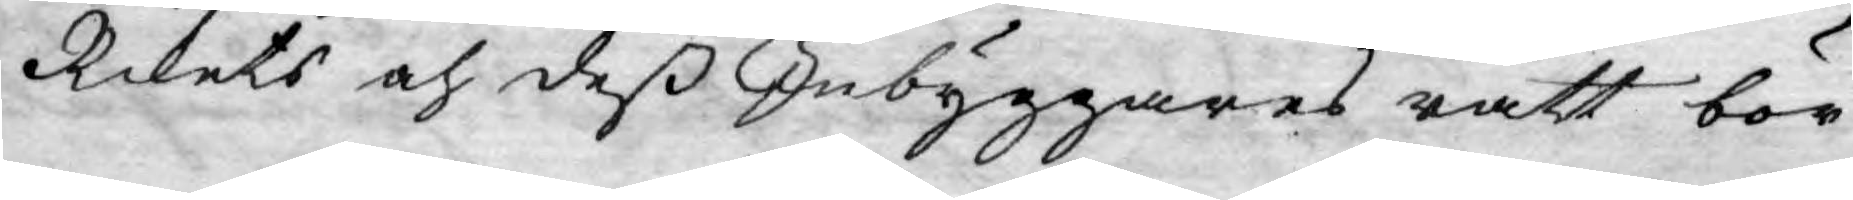Rikets och deß Inbyggares rätt bör
